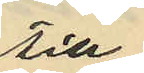till
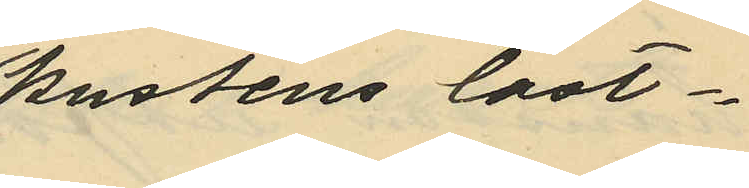kustens last¬
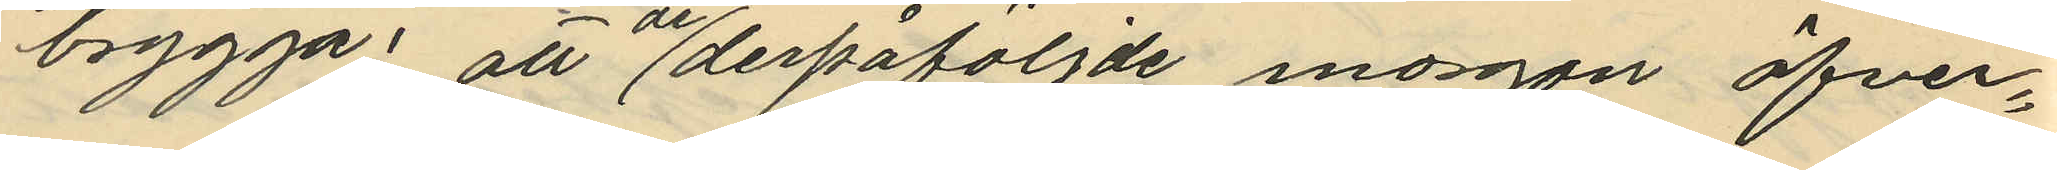brygga: att derpåföljde morgon öfver¬
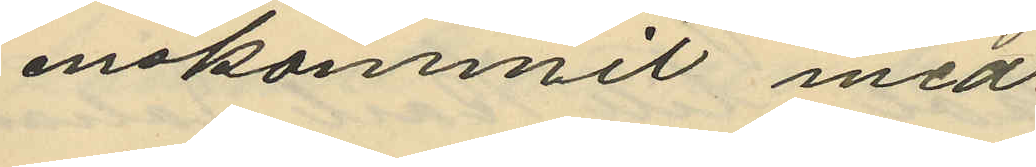enskommit med
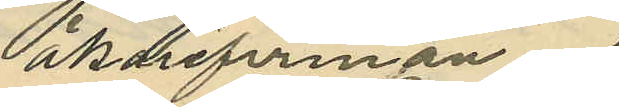åkerifirman
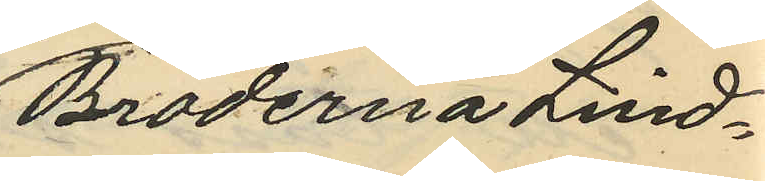Bröderna Lind¬
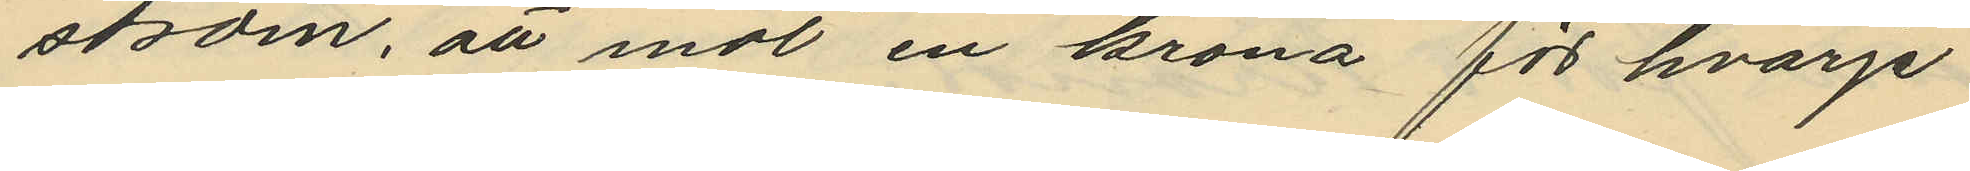ström, att mot en krona för hvarje
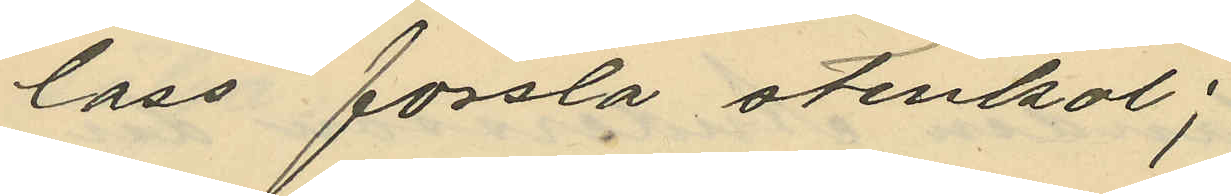lass forsla stenkol;
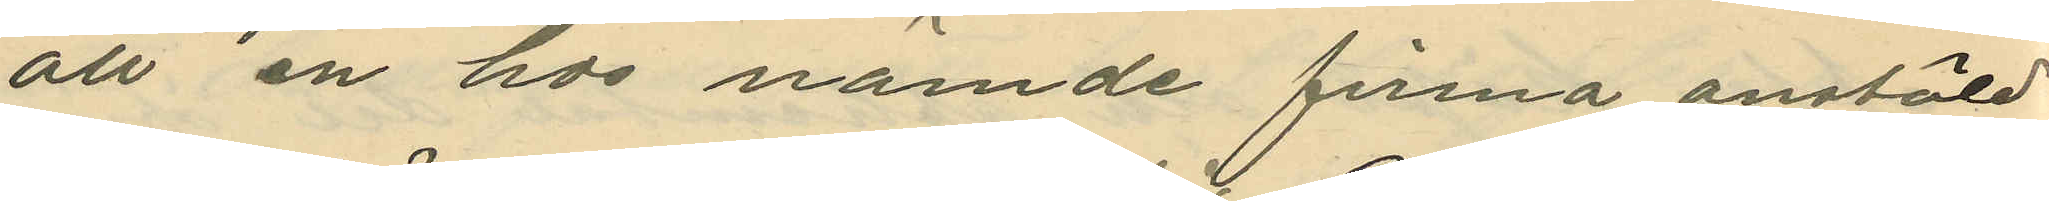att en hos nämde firma anstäld
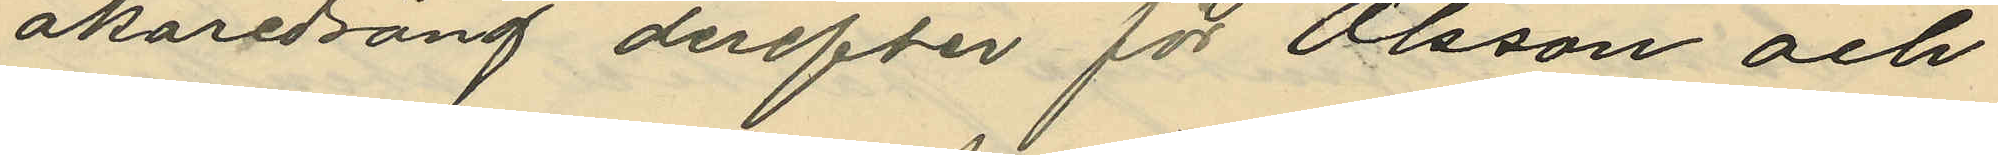åkaredräng derefter för Olsson och
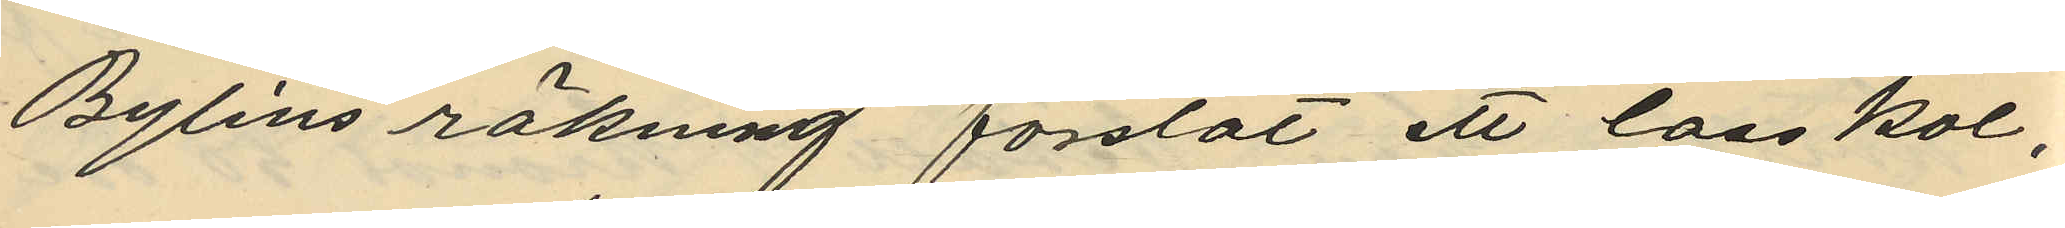Bylins räkning forslat ett lass kol,
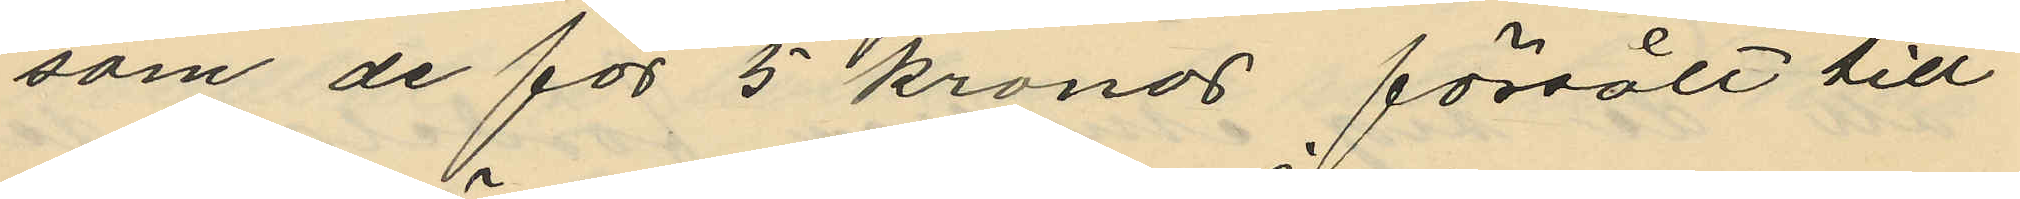som de för 5 kronor försålt till
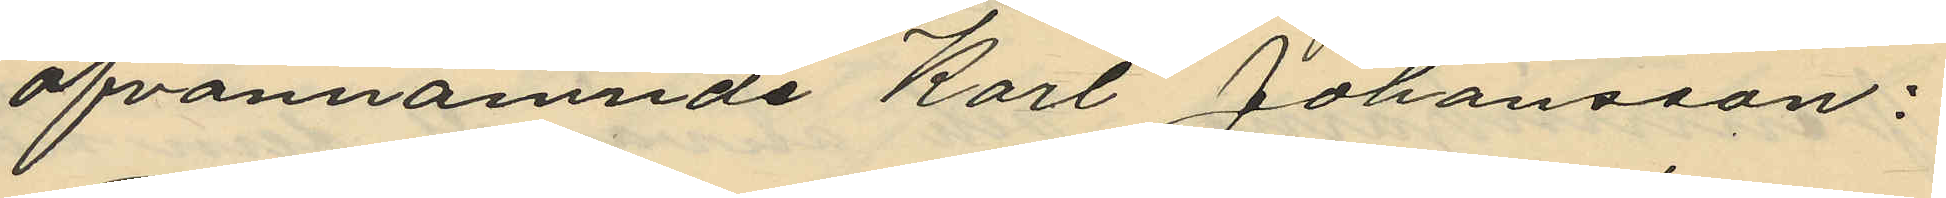ofvannämnde Karl Johansson:
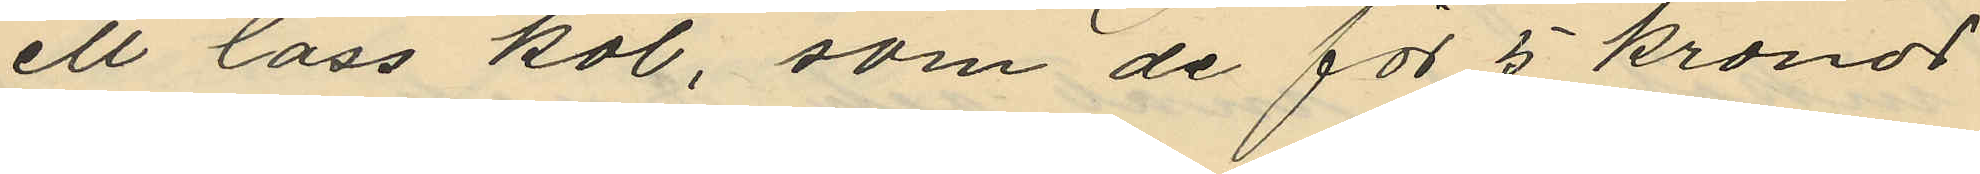ett lass kol, som de för 5 kronor
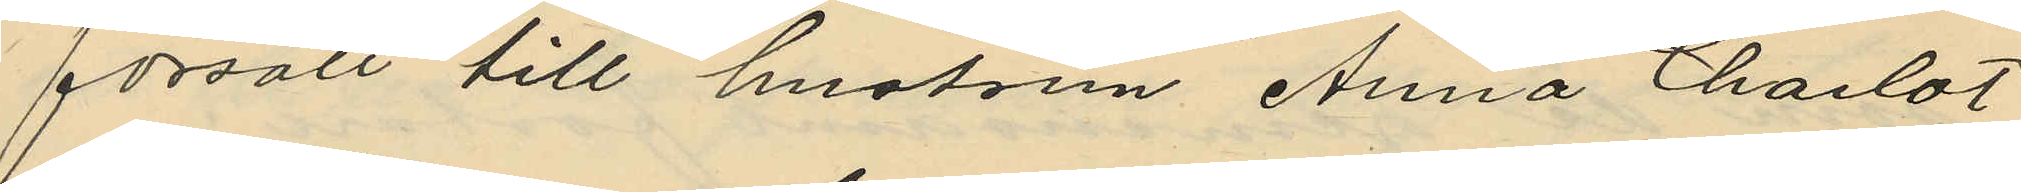försålt till hustrun Anna Charlot¬
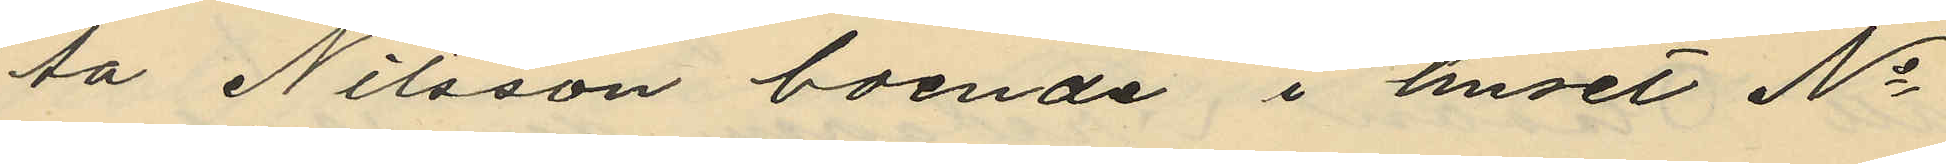ta Nilsson boende i huset No
